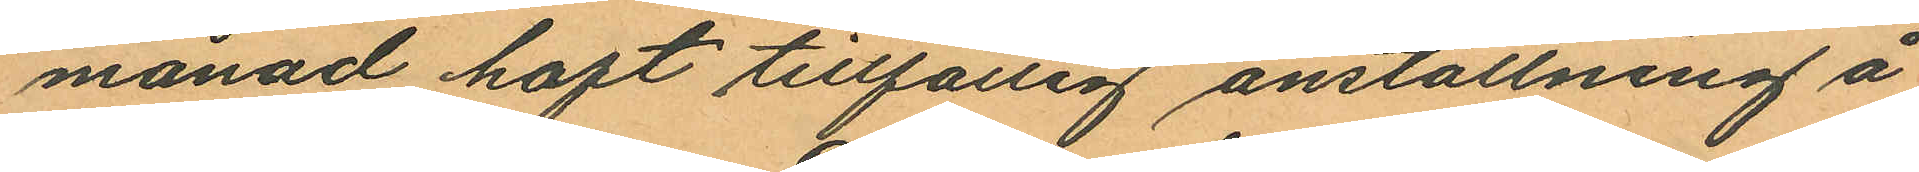månad haft tillfällig anställning å
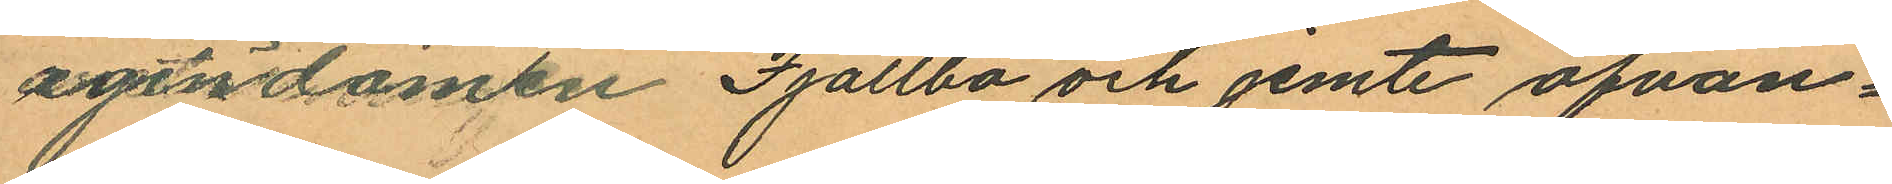egendomen Fjällbo och jemte ofvan¬
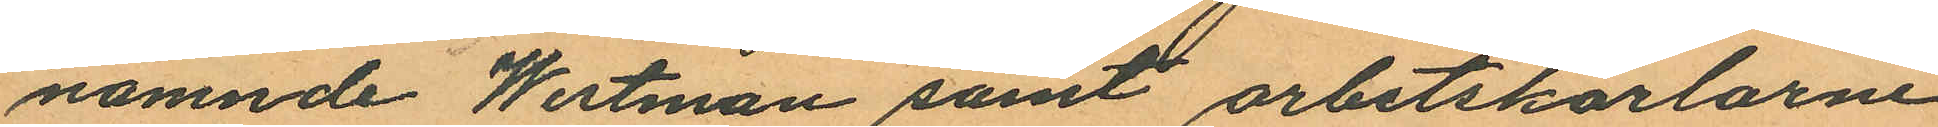nämnde Westman samt arbetskarlarne
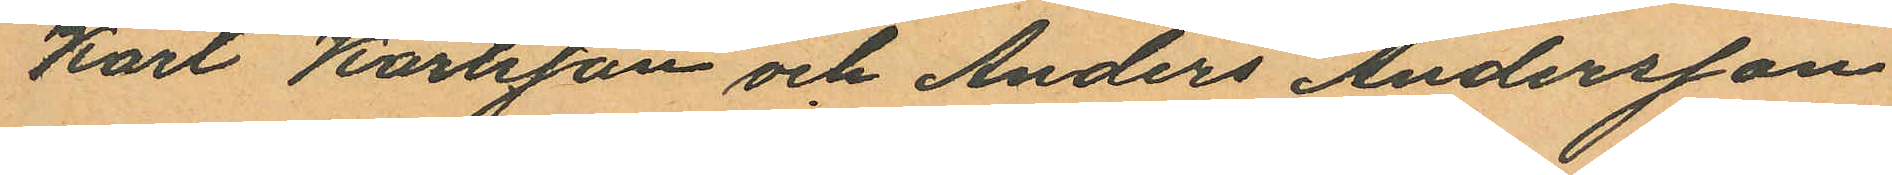Karl Karlsson och Anders Andersson
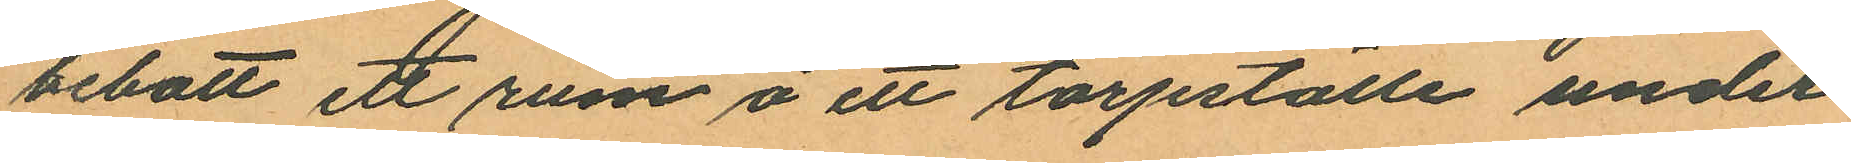bebott ett rum å ett torpställe under
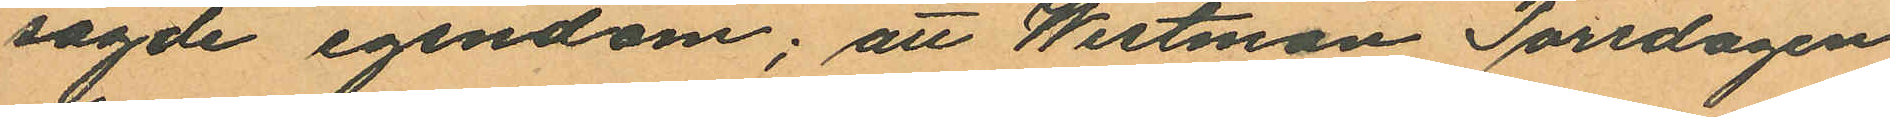sagde egendom; att Westman Torsdagen
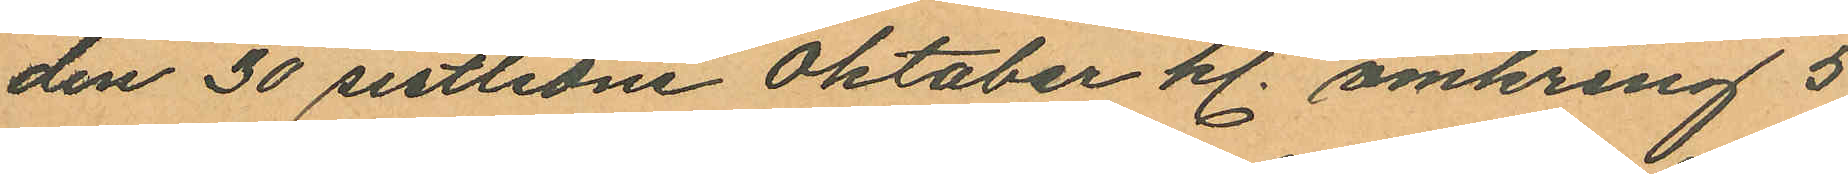den 30 sistlidne Oktober kl. omkring 5
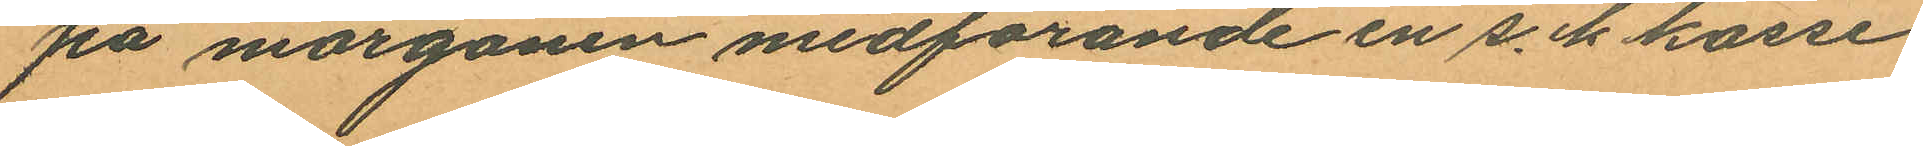på morgonen medförande en s. k kasse
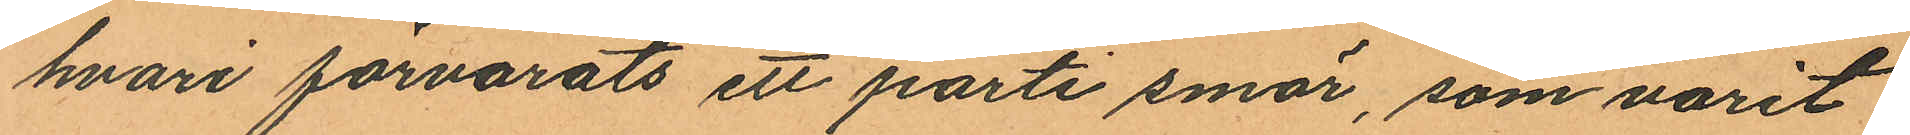hvari förvarats ett parti smör, som varit
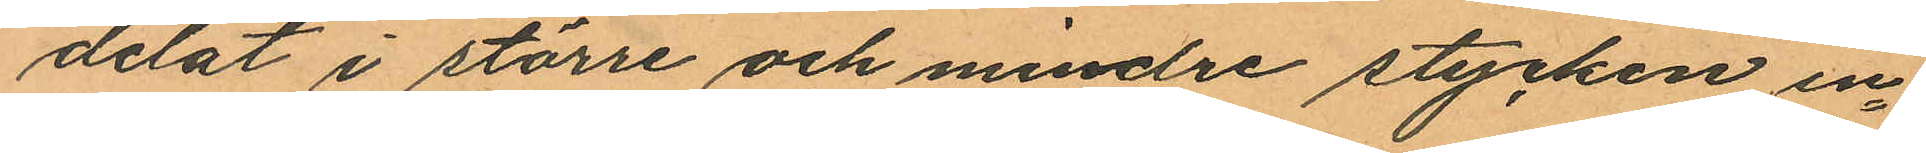delat i större och mindre stycken in¬
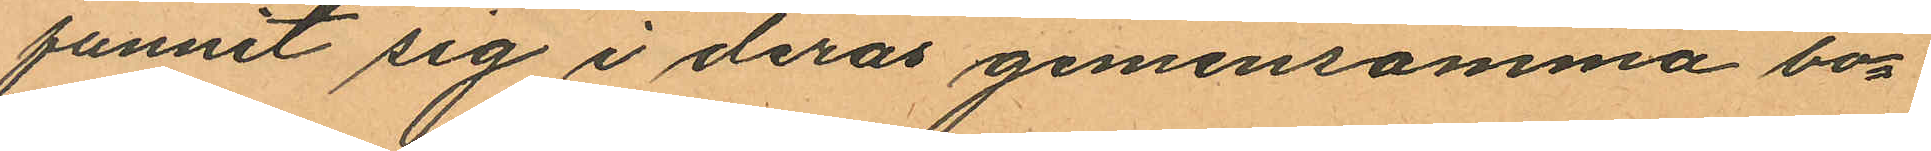funnit sig i deras gemensamma bo¬
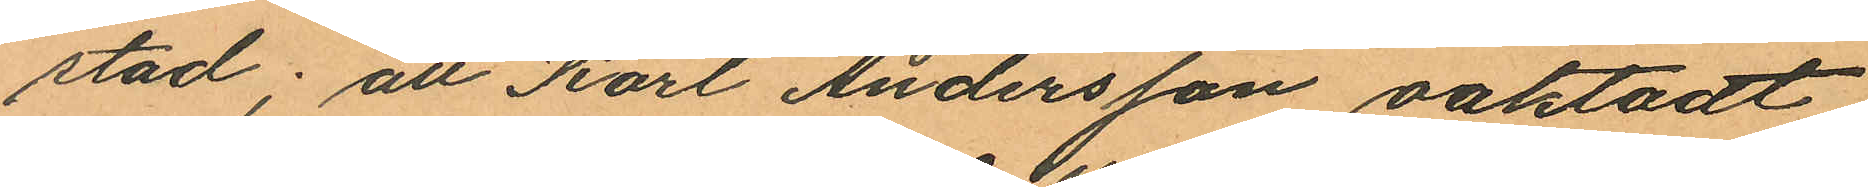stad; att Karl Andersson oaktadt
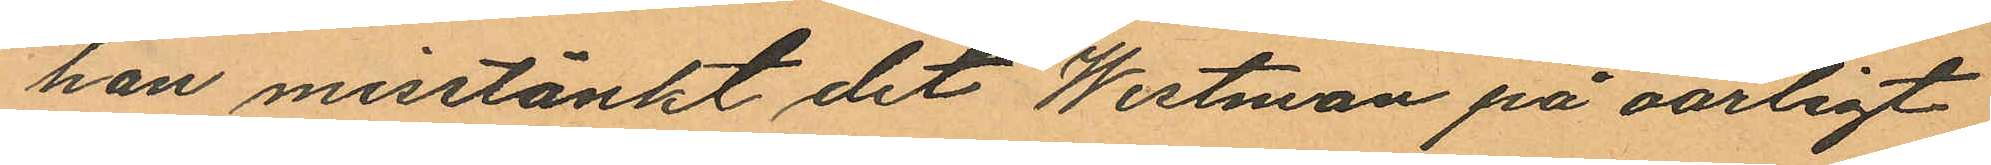han misstänkt det Wertman på oärligt
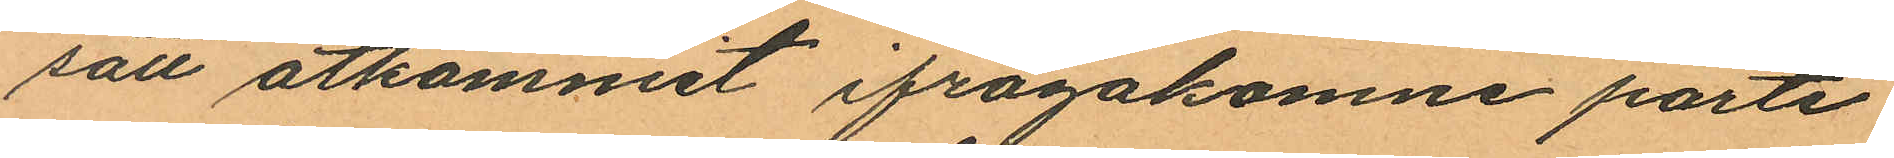sätt åtkommit ifrågakomne parti
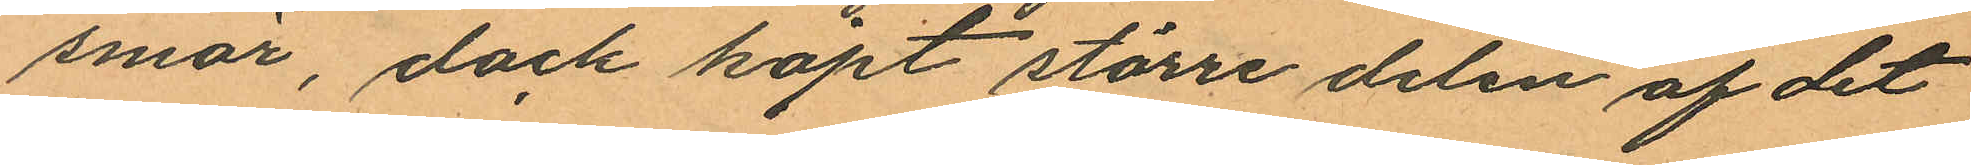smör, dock köpt större delen af det
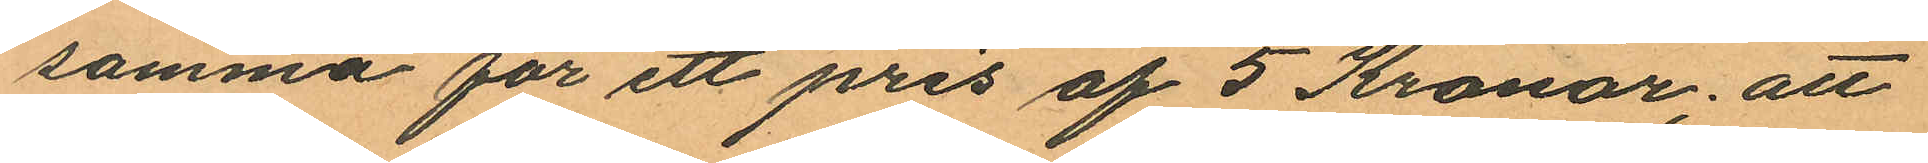samma för ett pris af 5 Kronor; att
